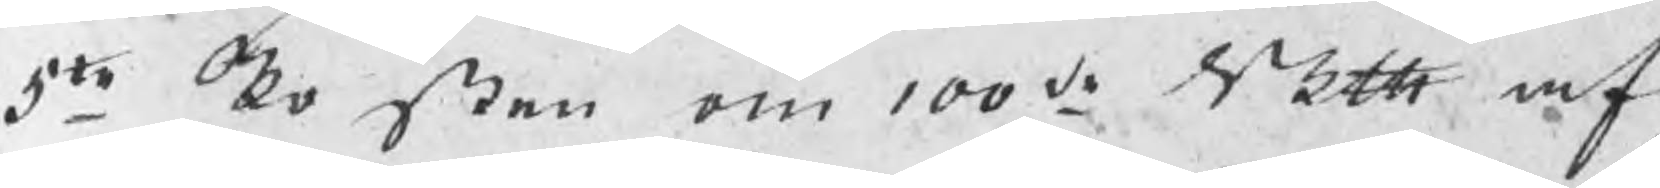5te Posten om 100de Skth af
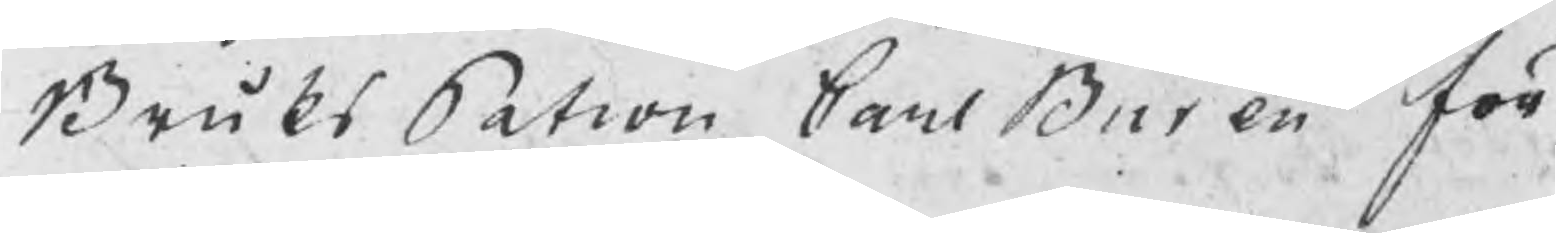BruksPatron Carl Buren för
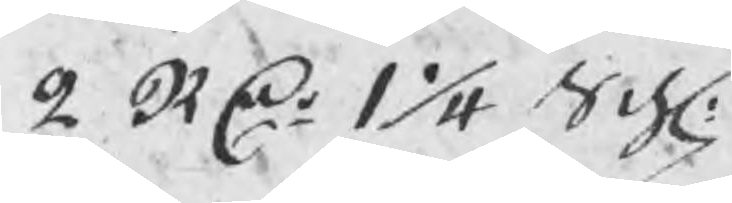2 RDr 1 1/4 Sch:
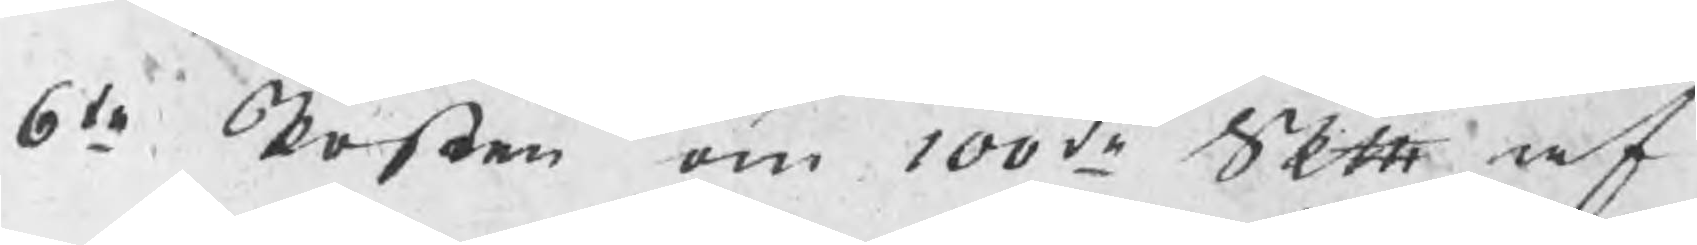6te Posten om 100de Skth af
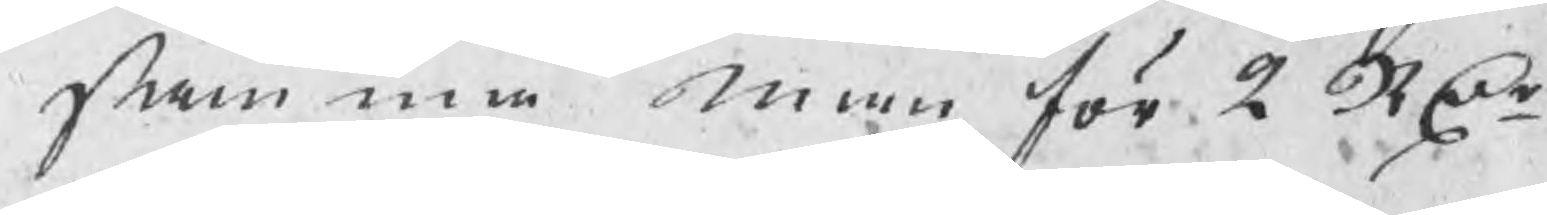samma man för 2 RDr
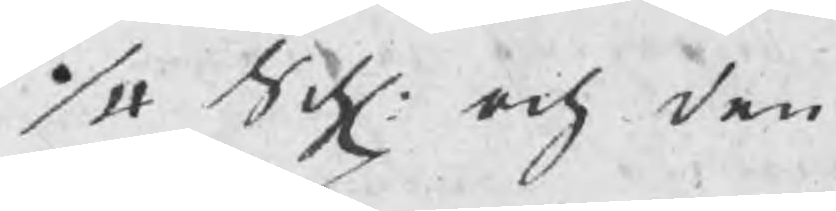1/4 Sch: och den
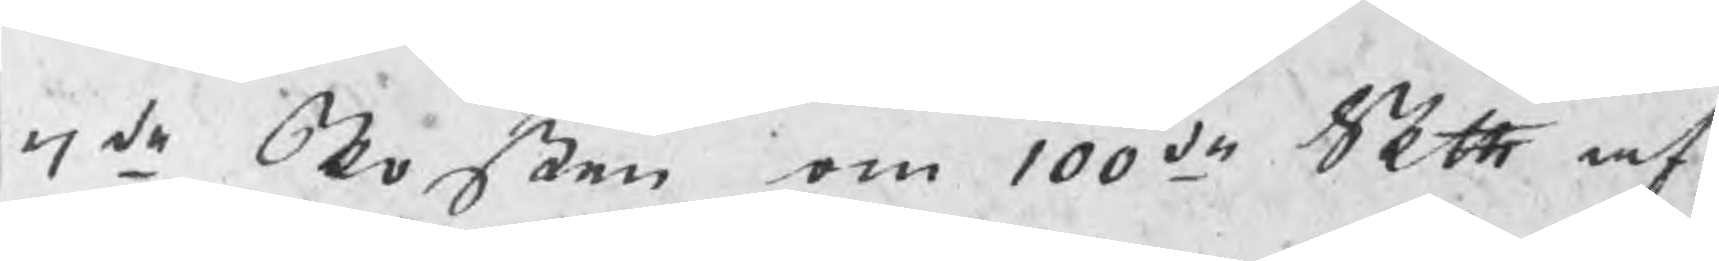7de Posten om 100de Skth af
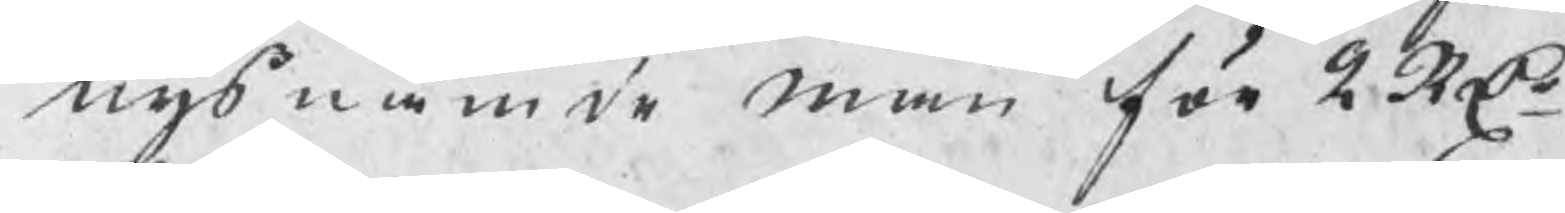nysnämde man för 2 Rdr
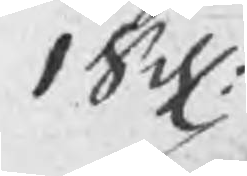1 Sch:
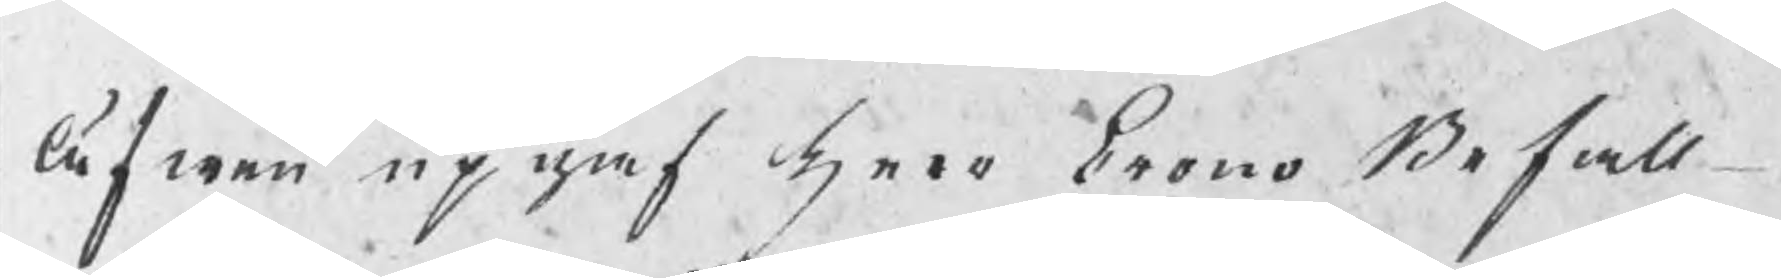Äfwen upgaf herr CronoBefall¬
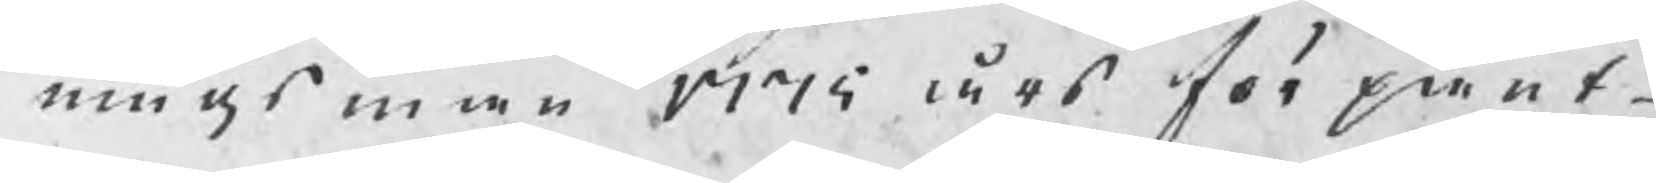ningsman 1775 års förpant¬
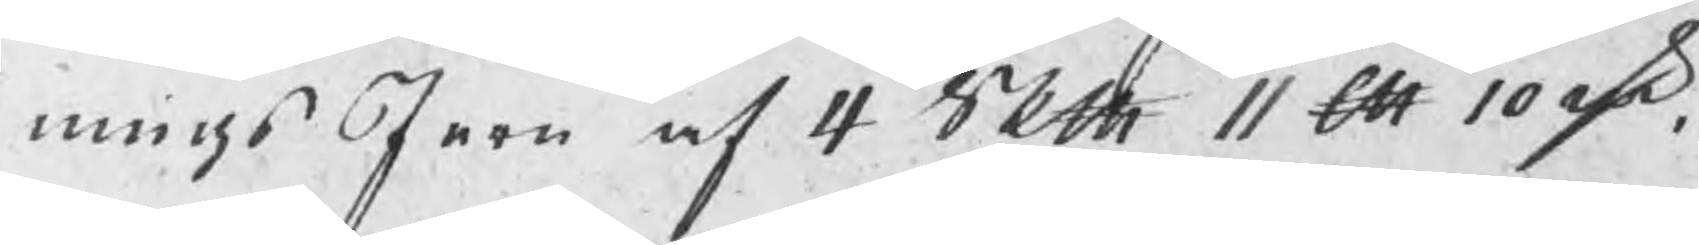ningsJern af 4 Skth 11 ℔ 10 rsk,
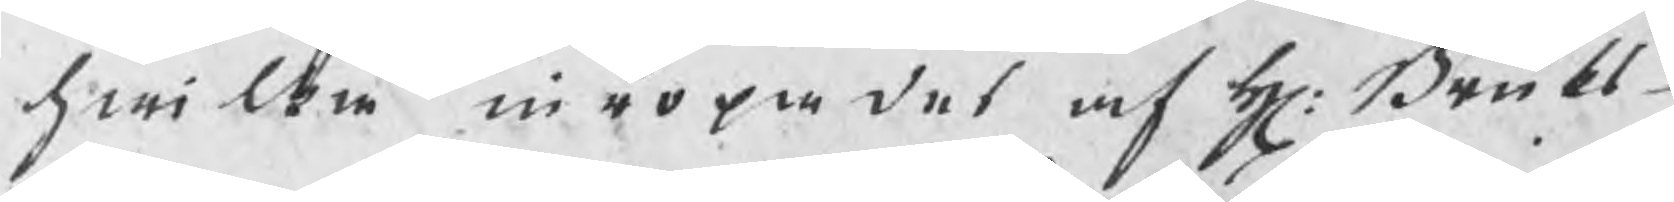hwilken inropades af h: Bruks¬
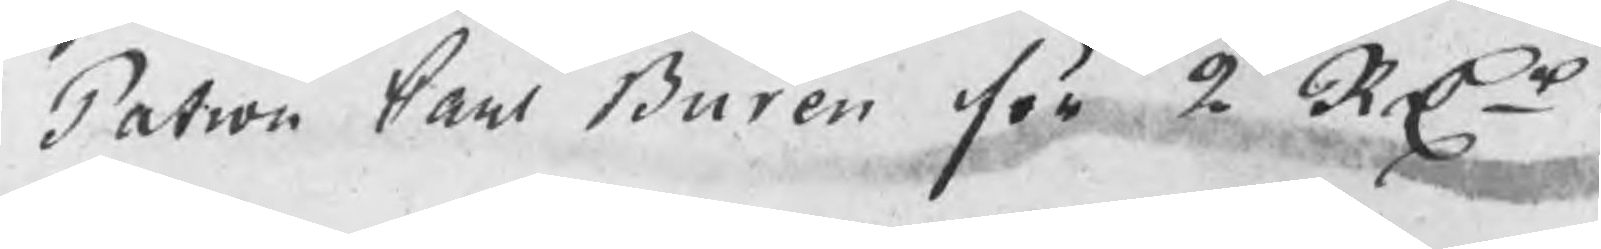Patron Carl Buren för 2 RDr
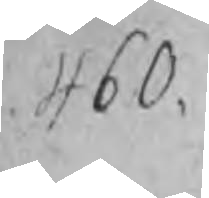460.
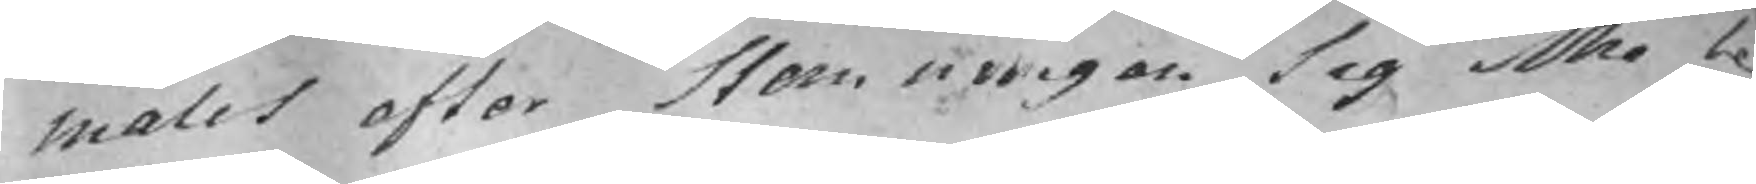malet efter stemningen sig icke be¬
